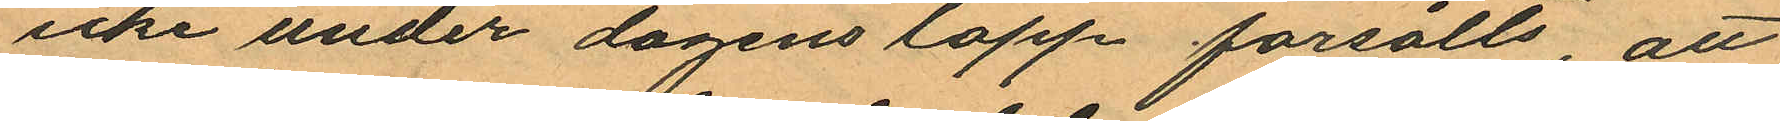icke under dagens lopp försålts, att
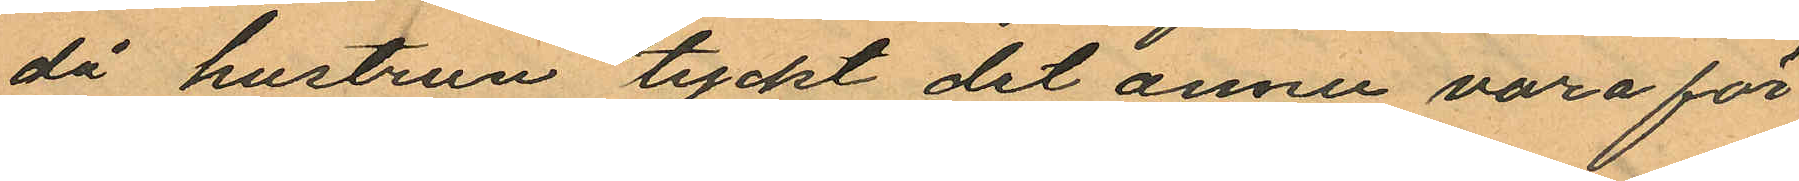då hustrun tyckt det annu vara för
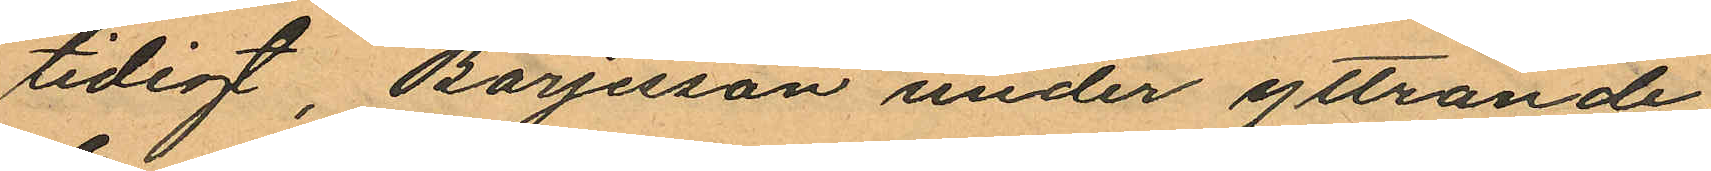tidigt, Böresson under yttrande
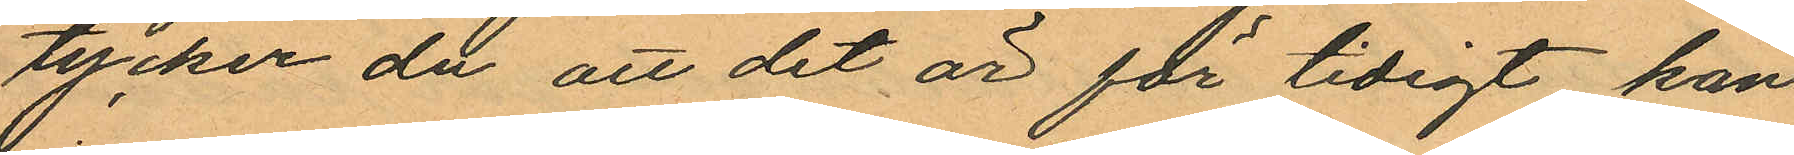tycker du att det är för tidigt kan
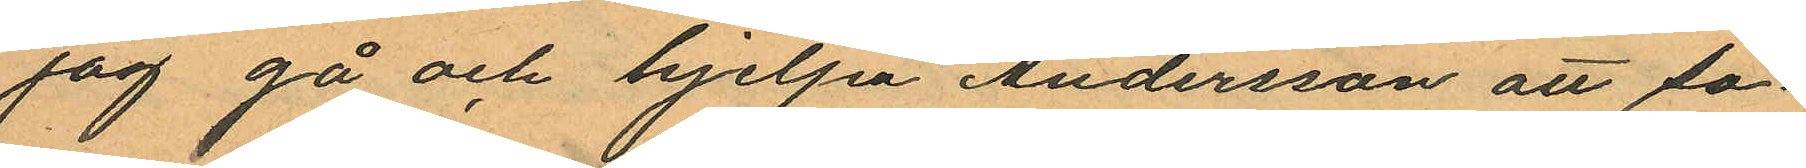jag gå och hjelpa Andersson att so¬
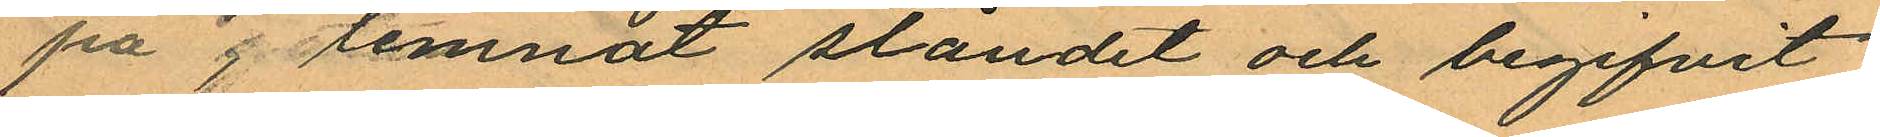pa lemnat ståndet och begifvit
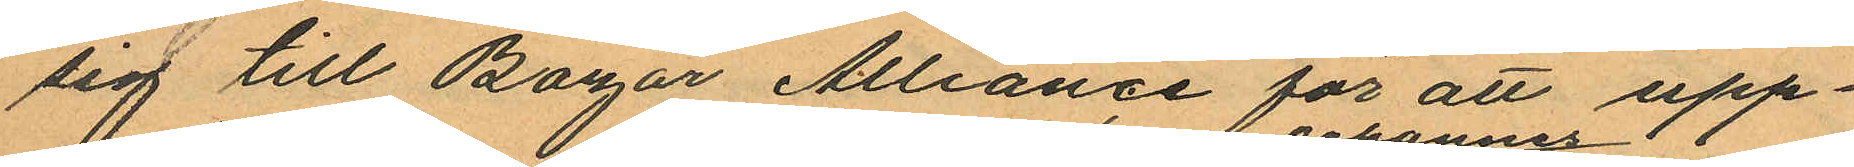sig till Bazar Alliance för att upp¬
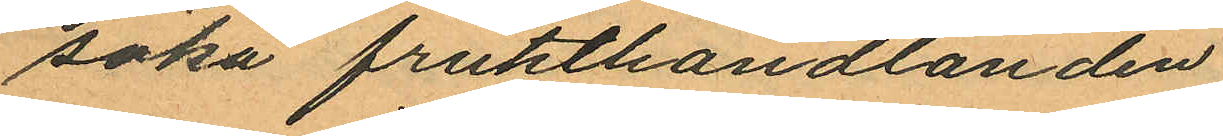söka frukthandlanden
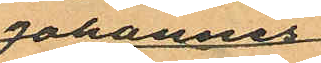Johannes
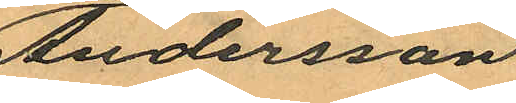Andersson
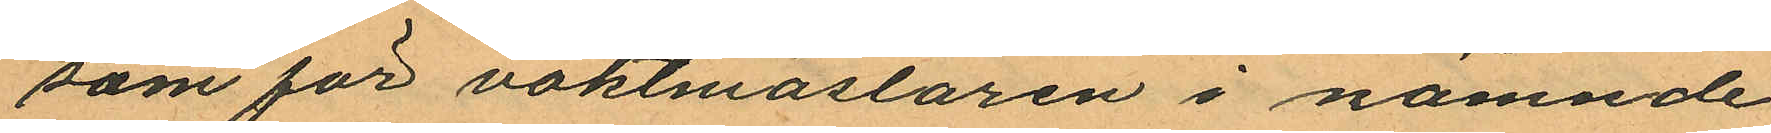som för vaktmästaren i nämnde
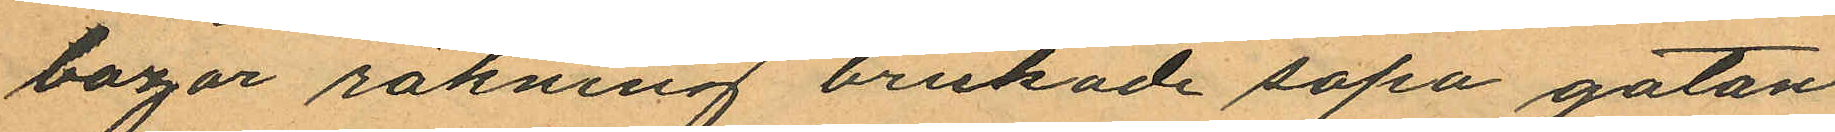bazar räkning brukade sopa gatan
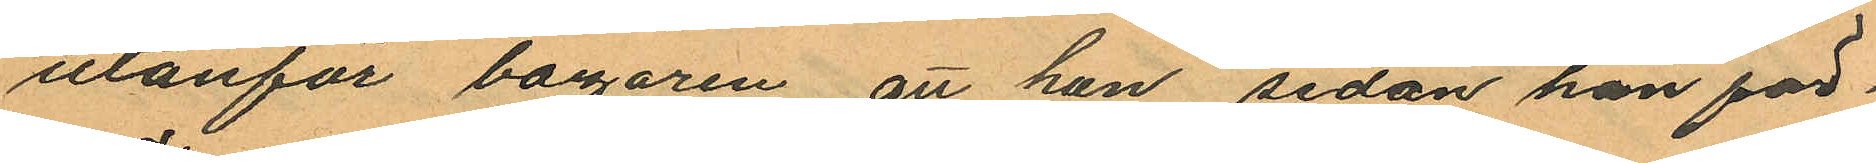utanför bazaren, att han, sedan han för¬
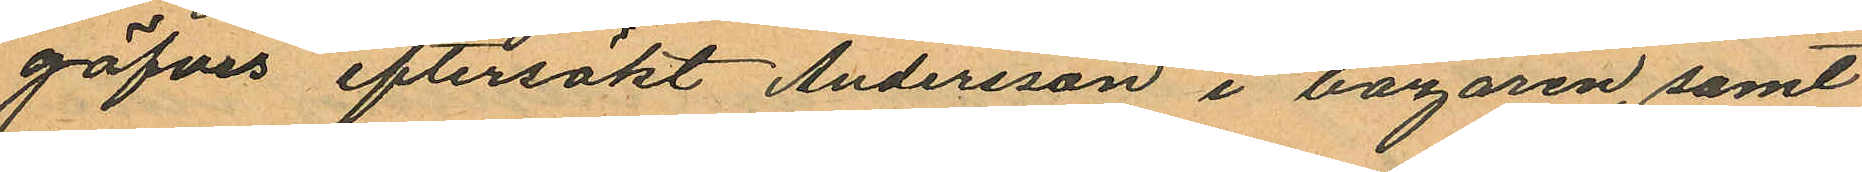gäfves eftersökt Andersson i bazaren, samt
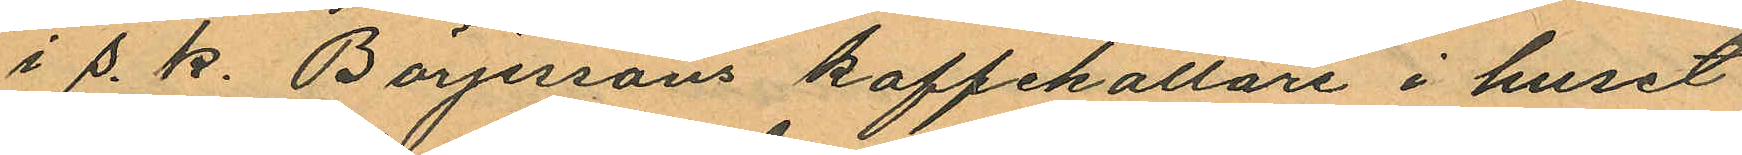i s. k. Börjessons kaffekällare i huset
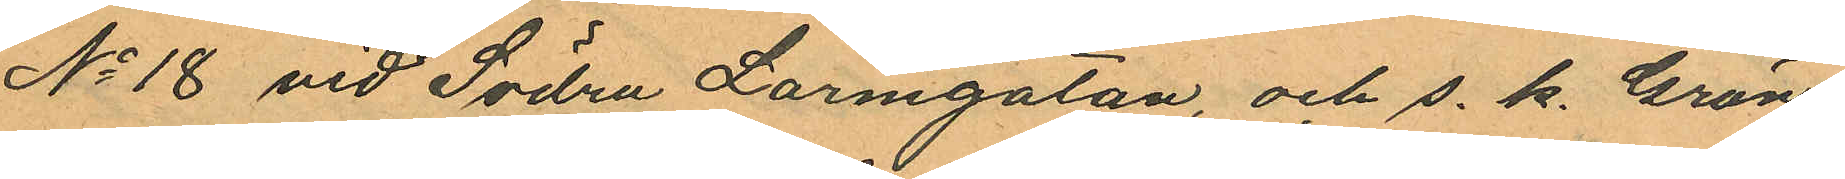No 18 vid Södra Larmgatan, och s. k. Grön¬
